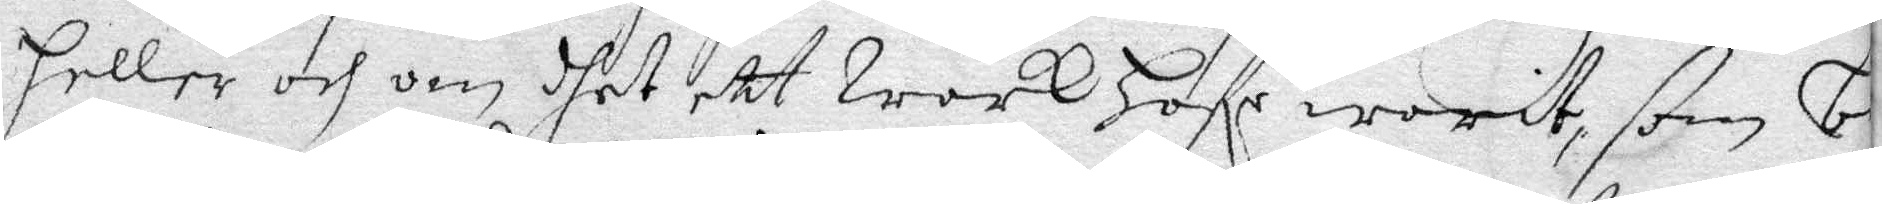heller och om dhet ett Wärk hafe warit, som be¬
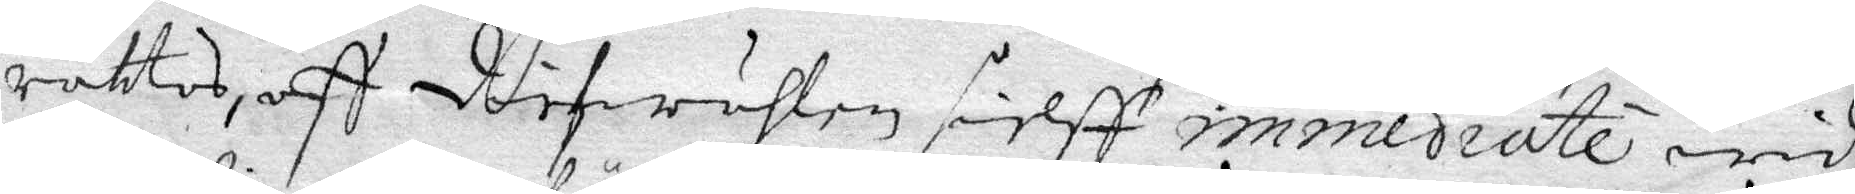rättas, aff diefwuhlen siekff immediate widh
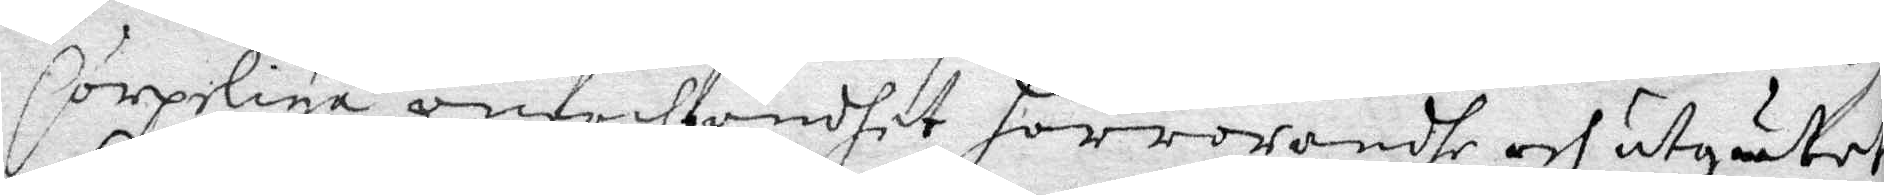Corpeliga anförht ondhet förröranhe och utgutet
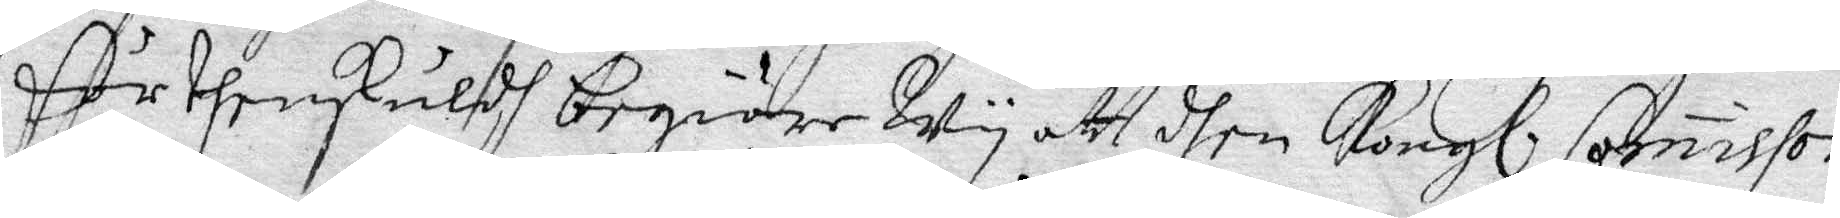för ehenskuldh begiäre Wy att dhen Kongl. Commisson
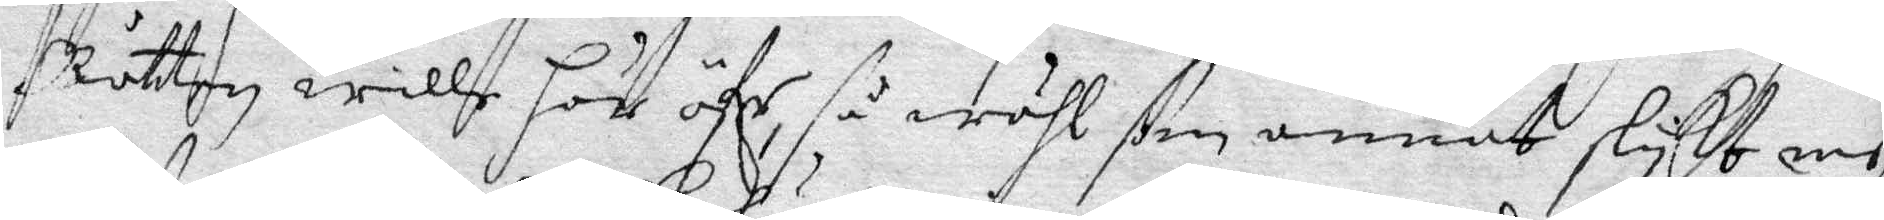Rätten wille här öfer, så wähl som annat slykt me
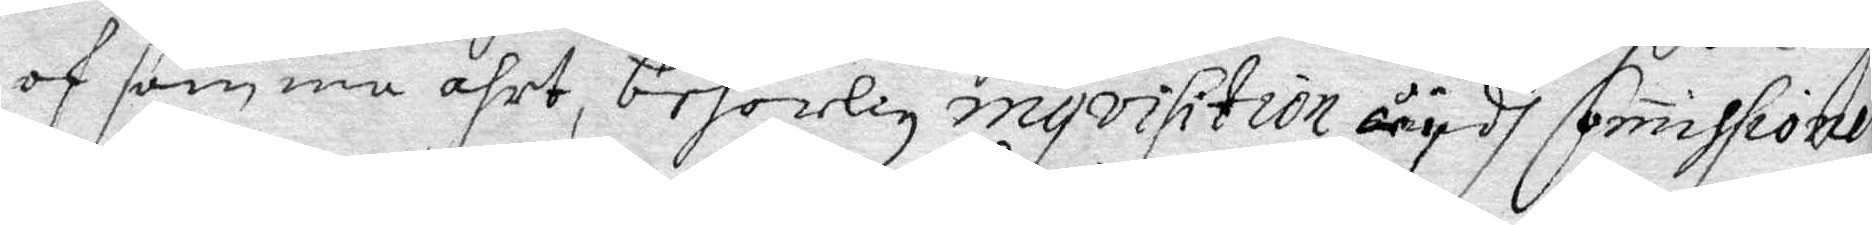af samma ahrt, behörlig myvisition wydh Commissionen
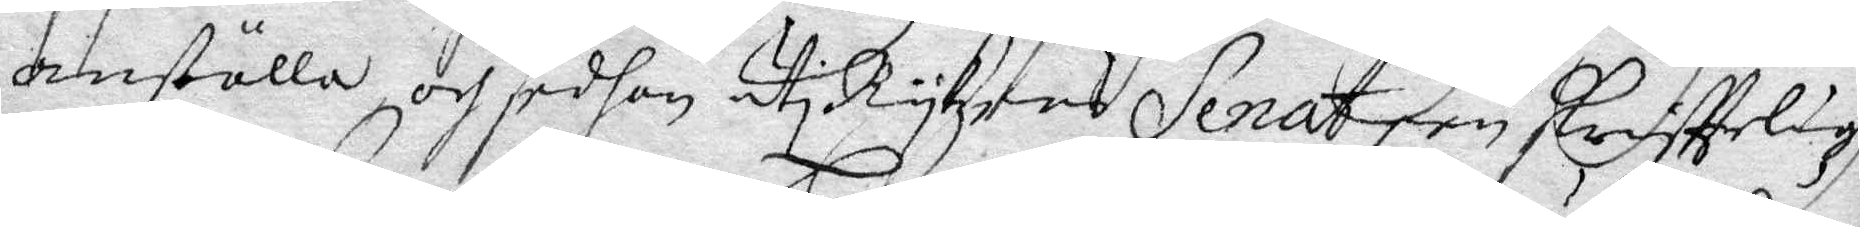anställa och sedhan uti Rykzens Senat een skriffteligh
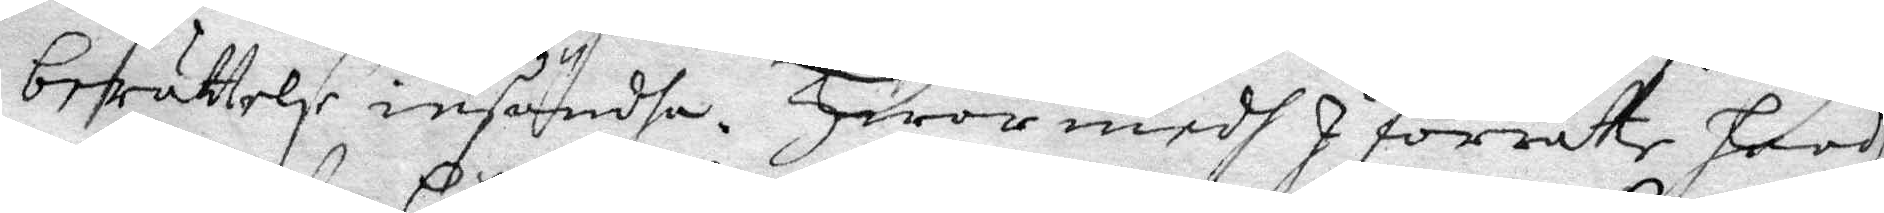berättelse insänha. Hwar medh I förrätte hwadh
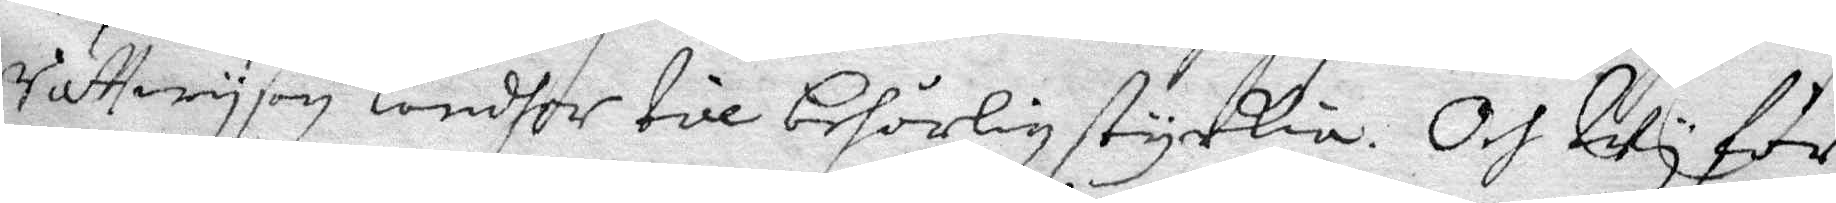rättwysan ländher till behörlig styrkia. Och uti för
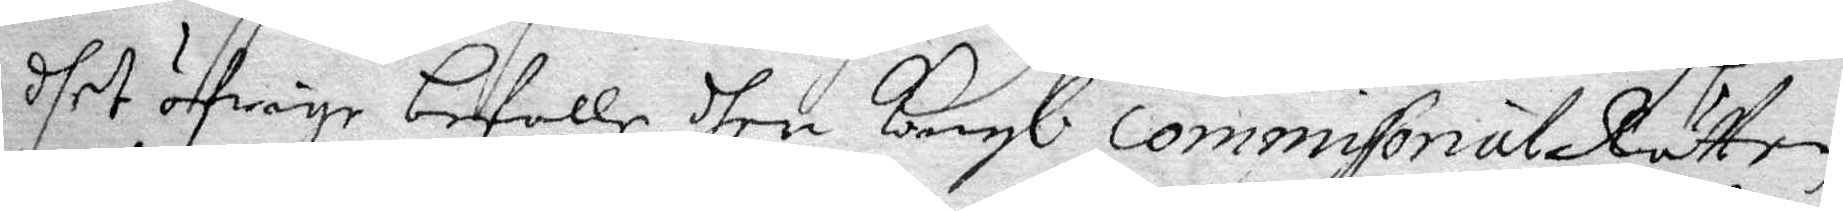dhet öfrige befalle dhen Kongl. Commisonal Rätten
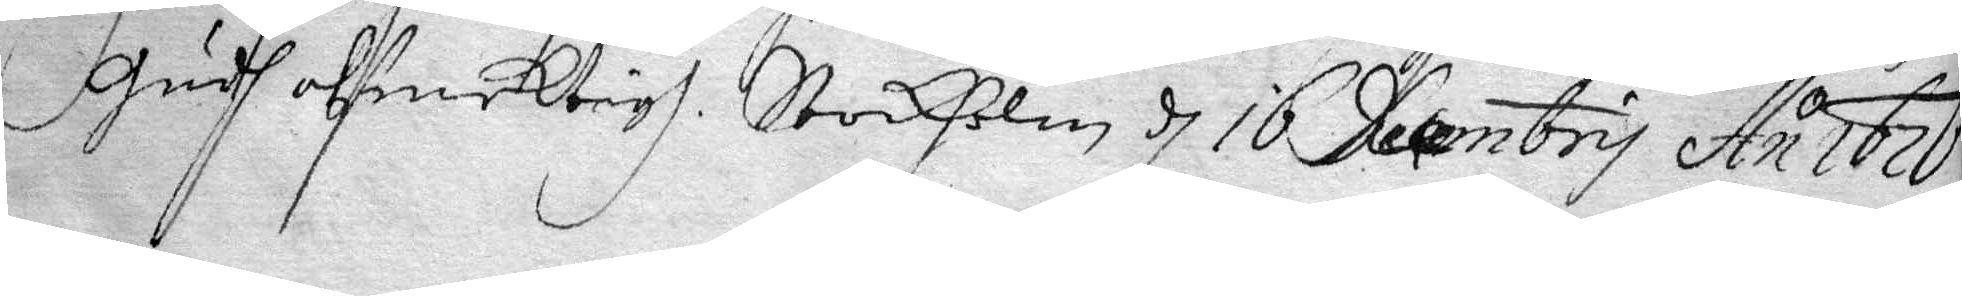Gudh alsmektigh. Stockholm d 16 Decembry An o 1676.
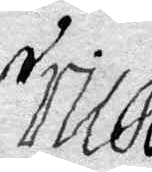Erik 
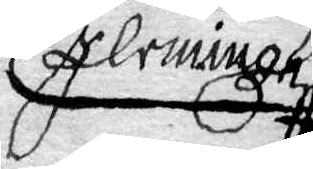Flemingh
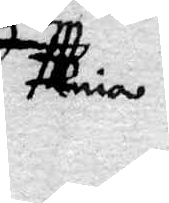nia
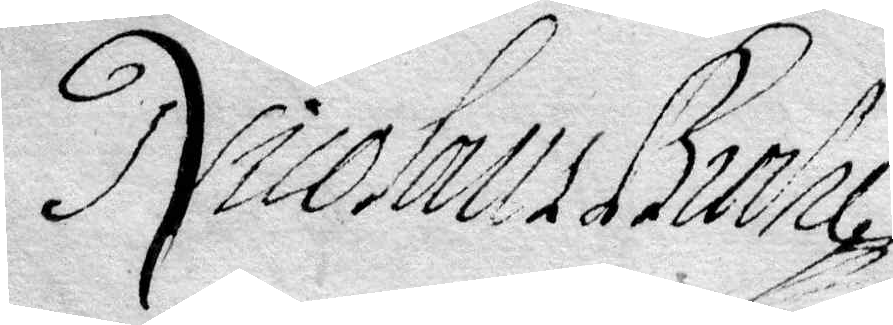Nicolaus Burhe
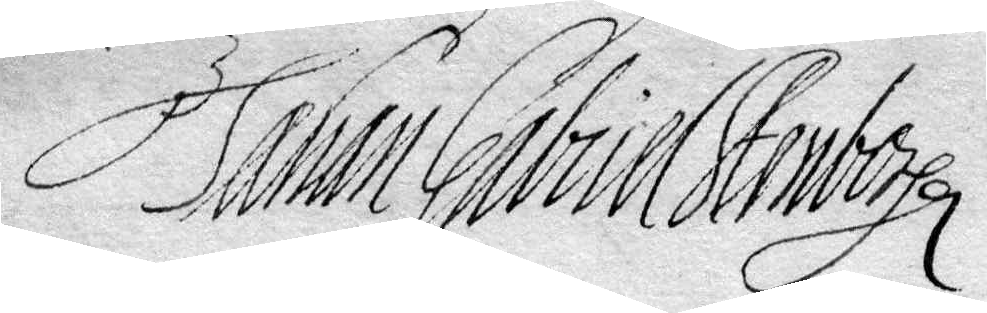Johan Gabriel Stenboch
